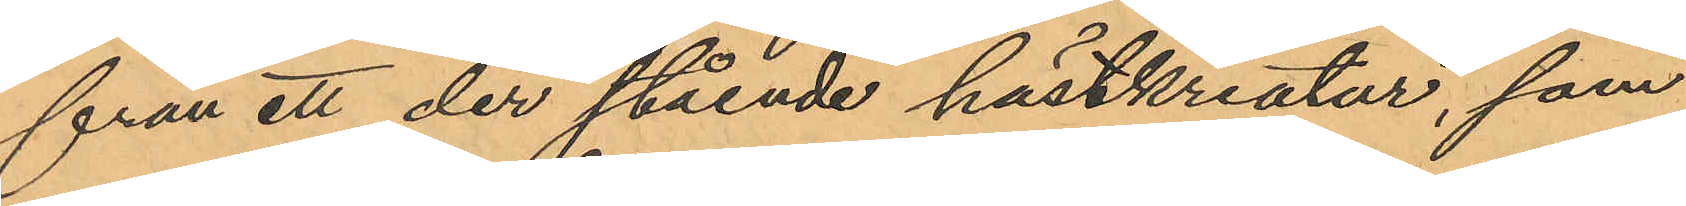från ett der stående hästkreatur, som
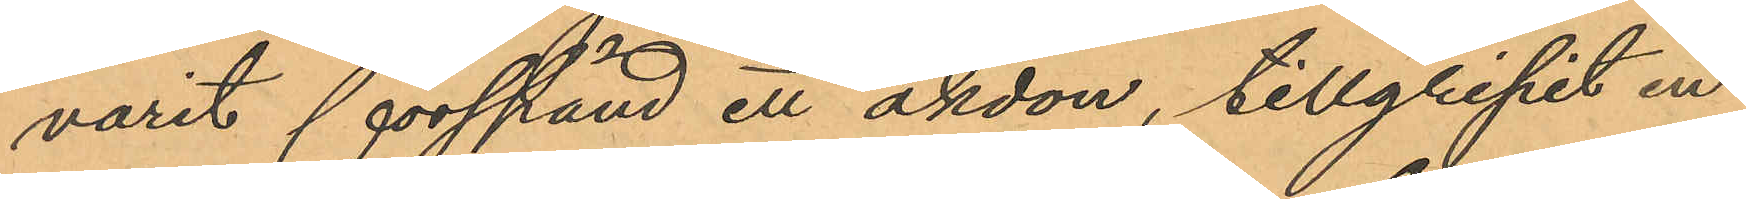varit förspänd ett åkdon, tillgripit en
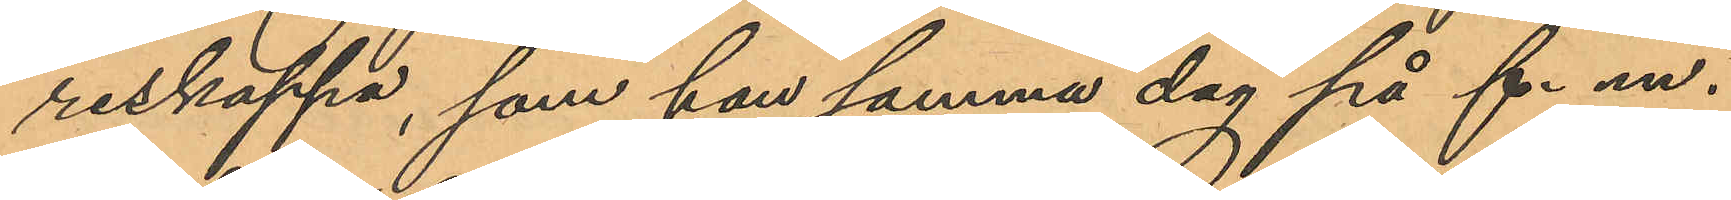reskappa, som han samma dag på f. m.
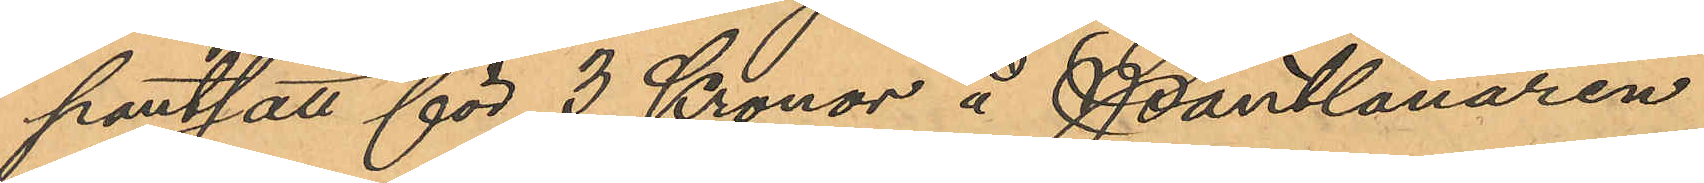pantsatt för 3 Kronor å Pantlånaren
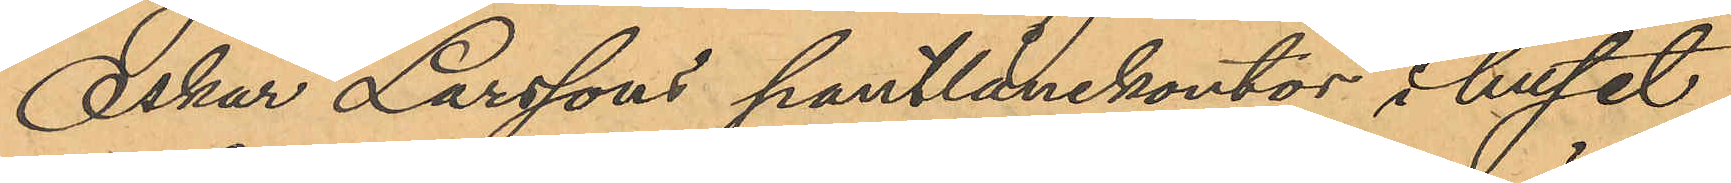Oskar Larssons pantlånekontor i huset
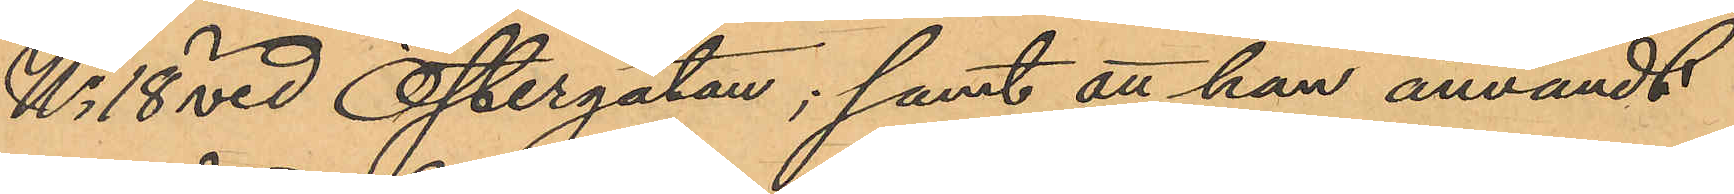No 18 vid Östergatan; samt att han användt
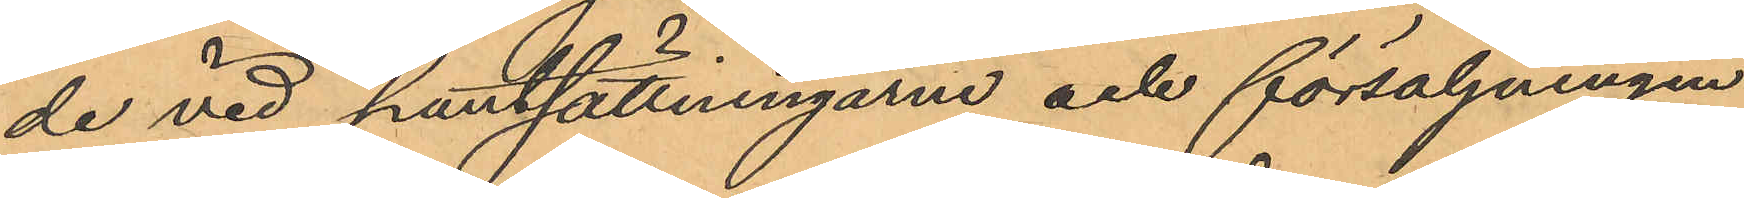de vid pantsättningarne och försäljningen
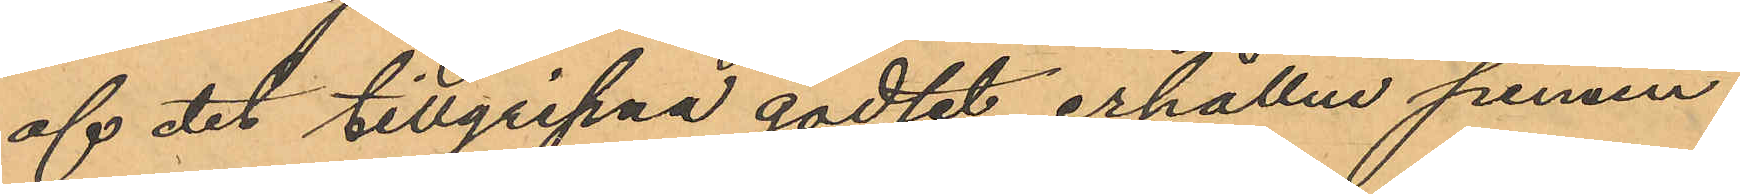af det tillgripna godset erhållne pennin¬
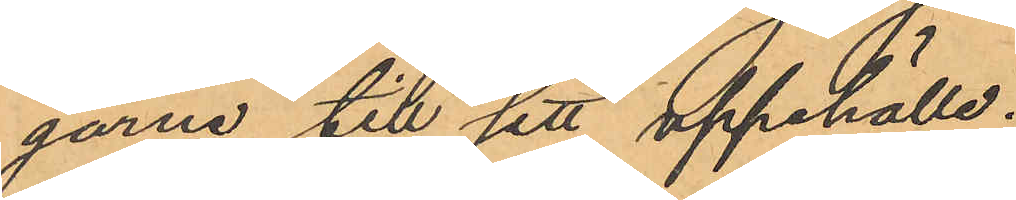garne till sitt uppehälle.
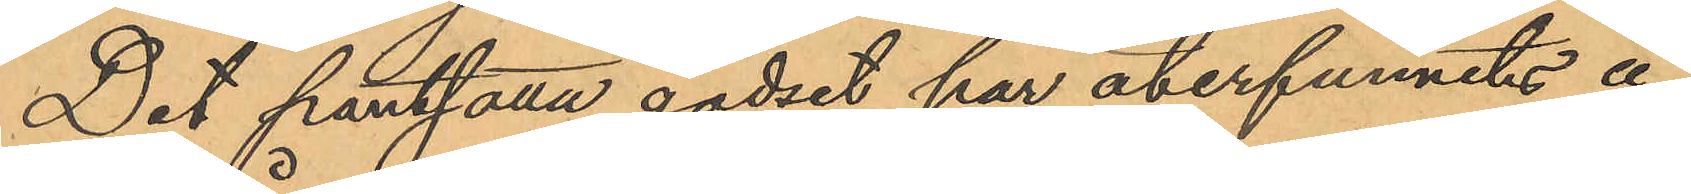Det pantsatta godset har återfunnits å
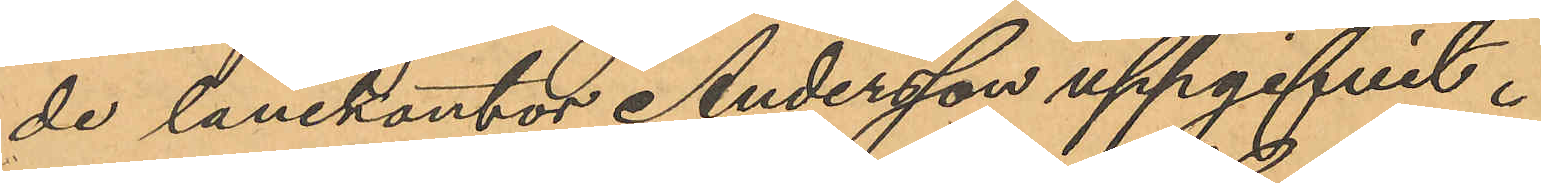de lånekontor Andersson uppgifvit.
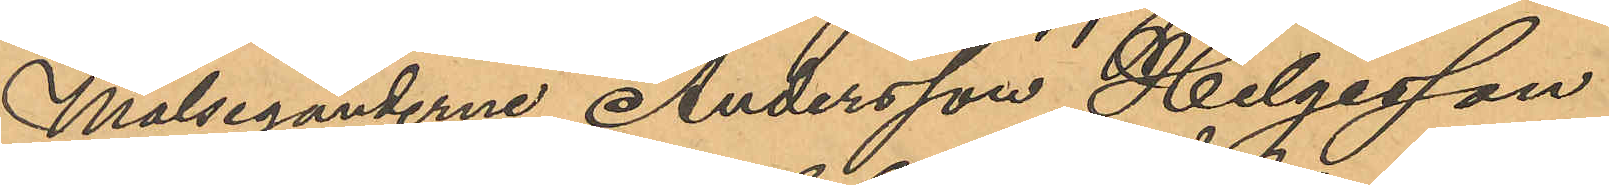Målseganderne Andersson, Helgesson
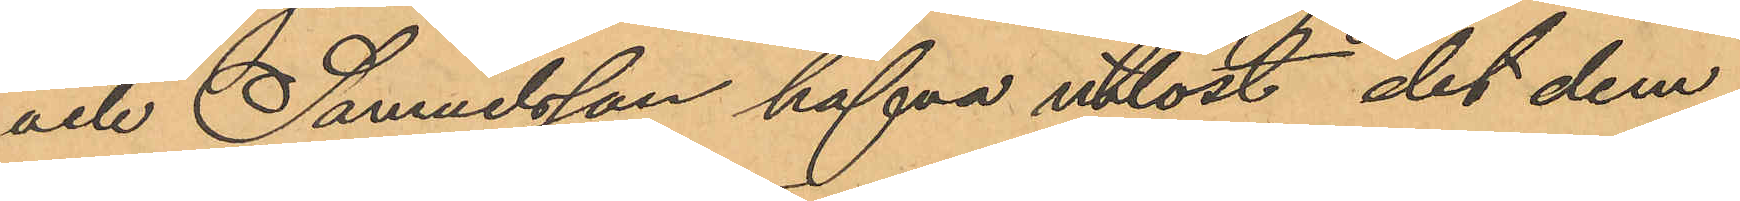och Samuelsson hafva utlöst det dem
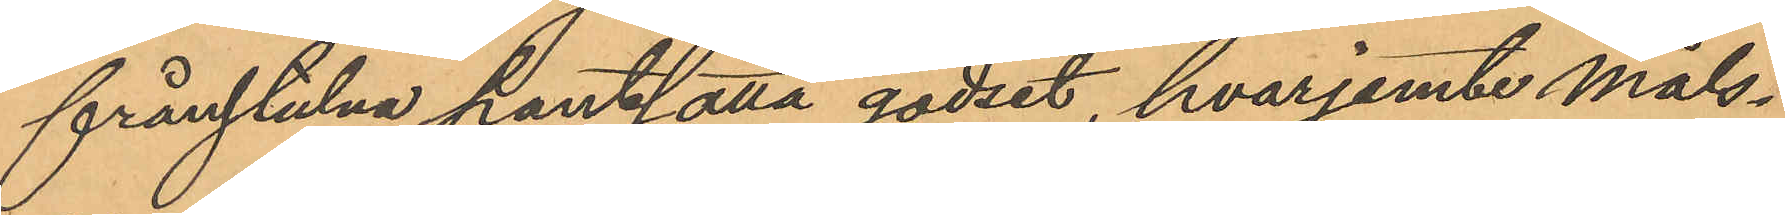frånstulna pantsatta godset, hvarjemte måls¬
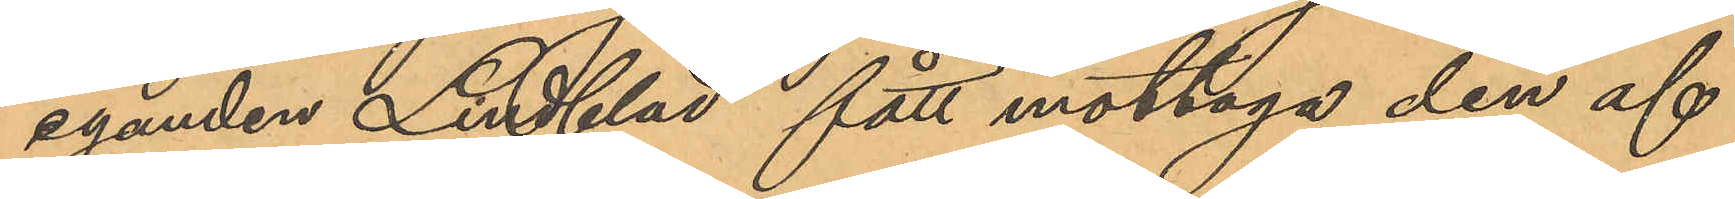eganden Lindblad fått mottaga den af
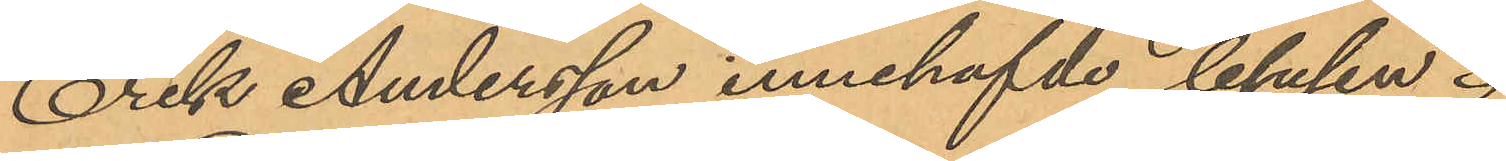Erik Andersson innehafvde blusen.
